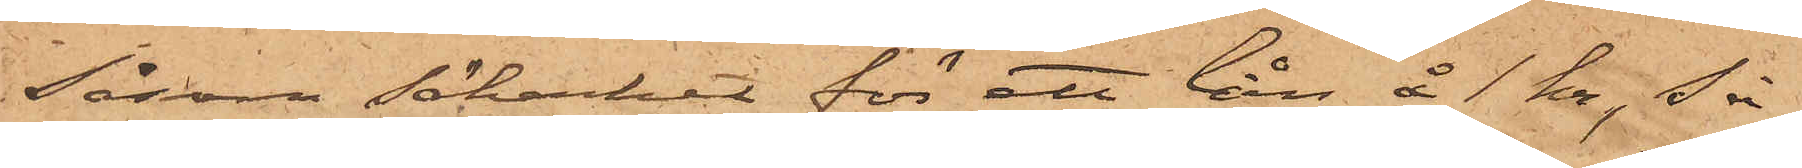såsom säkerhet för ett lån å 1 Kr. så
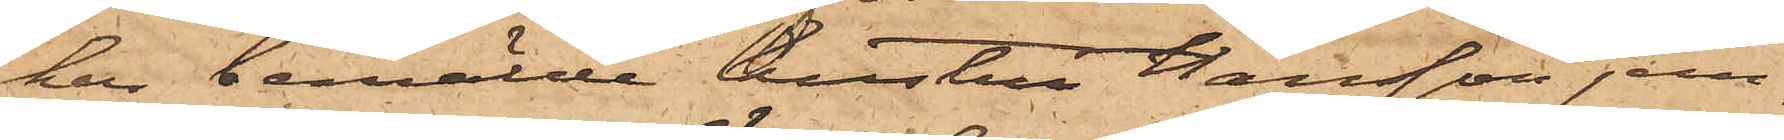har bemälde hustru Hansson jem¬
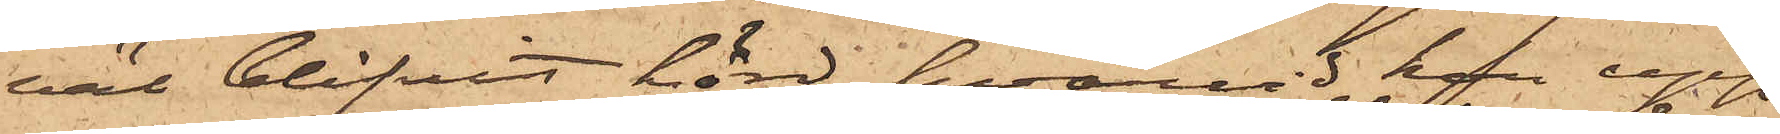väl blifvit hörd, hvarvid hon upp¬
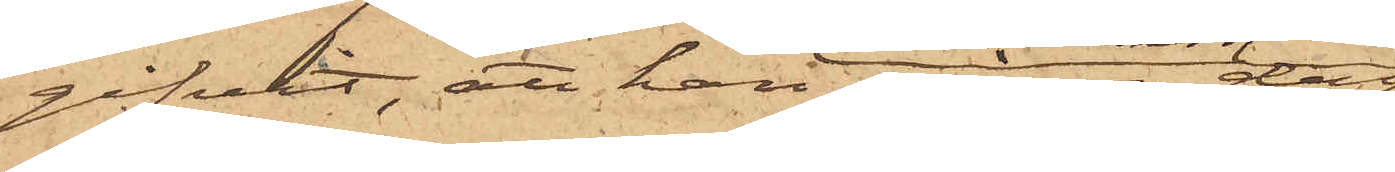gifvit, att hon någon dag
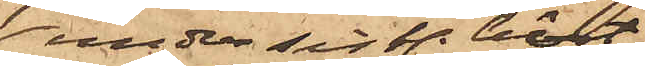under sist. höst
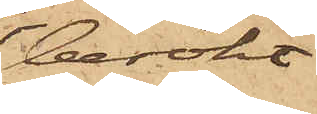besökt
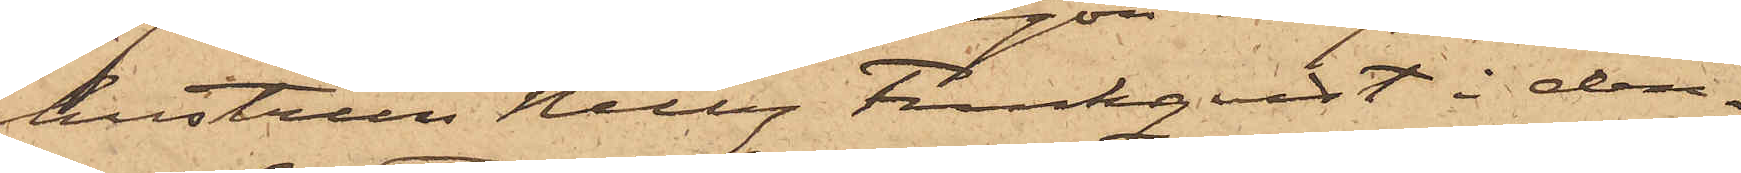hustrun Nelly Funkqvist i den¬
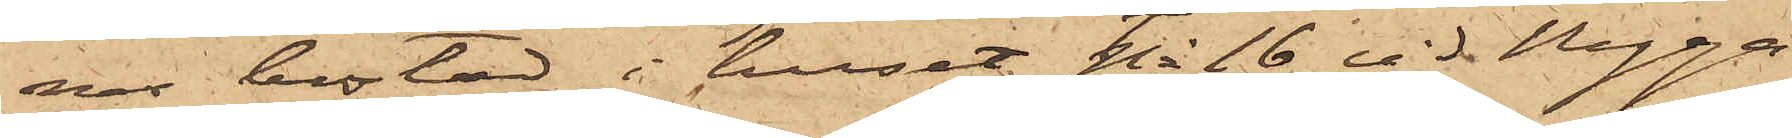nas bostad i huset No 16 vid Nyga¬
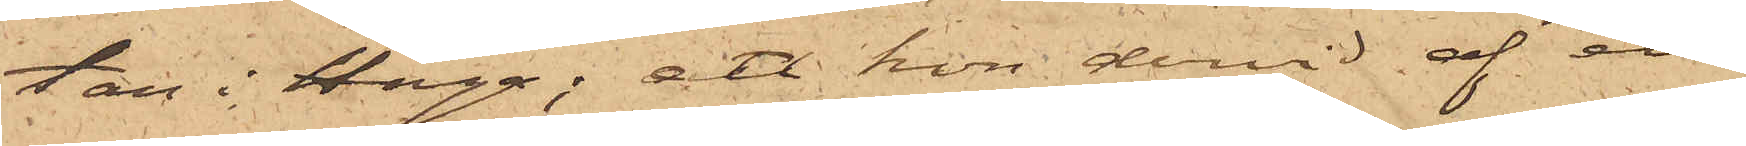tan i Haga; att hon dervid af ett
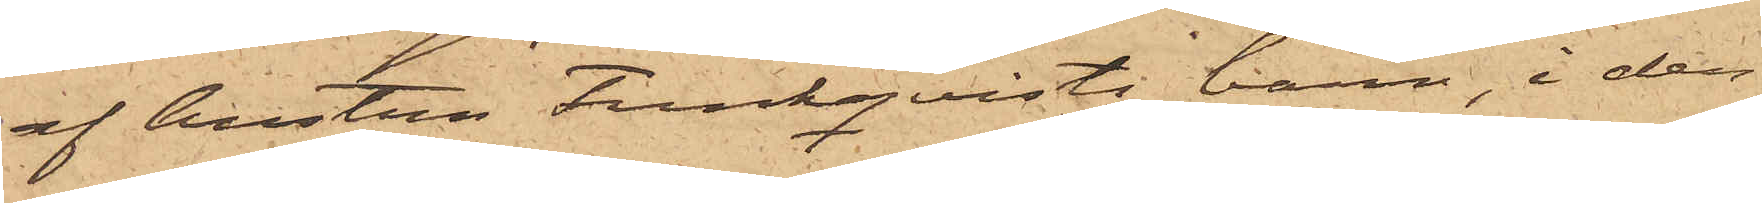af hustru Funkqvists barn, i den¬
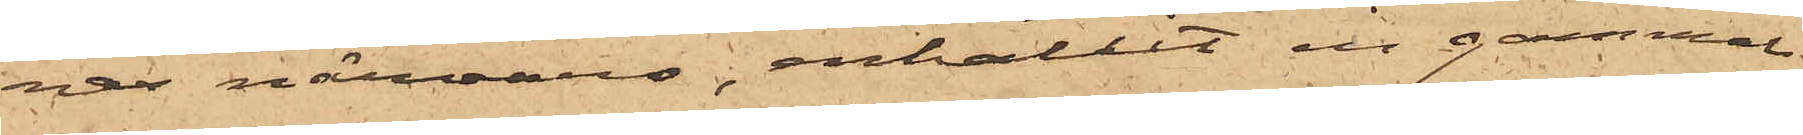nas närvaro, erhållit en gammal
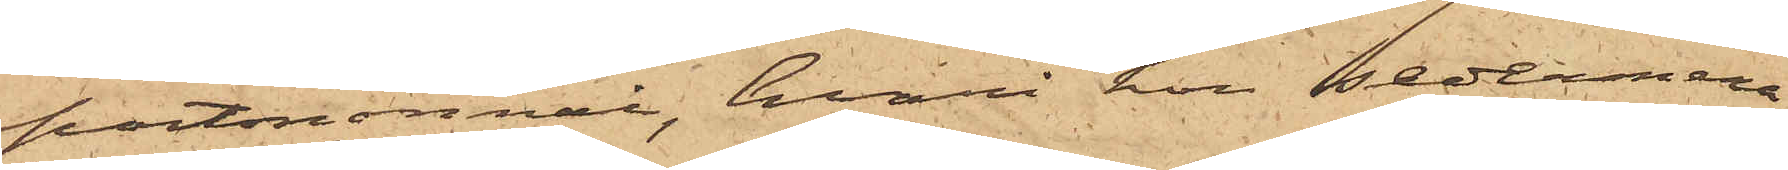portmonnai, hvari hon sedermera
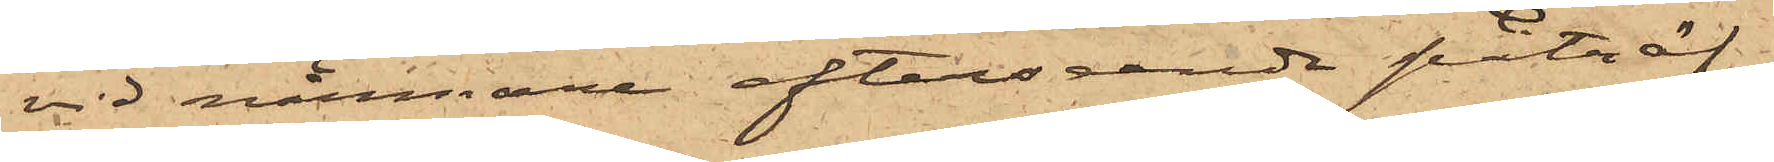vid närmare efterseende påträf¬
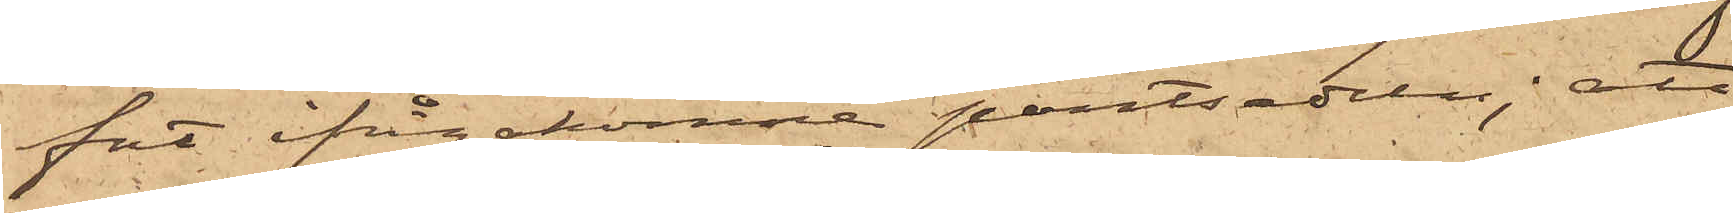fat ifrågakomne pantsedeln; att
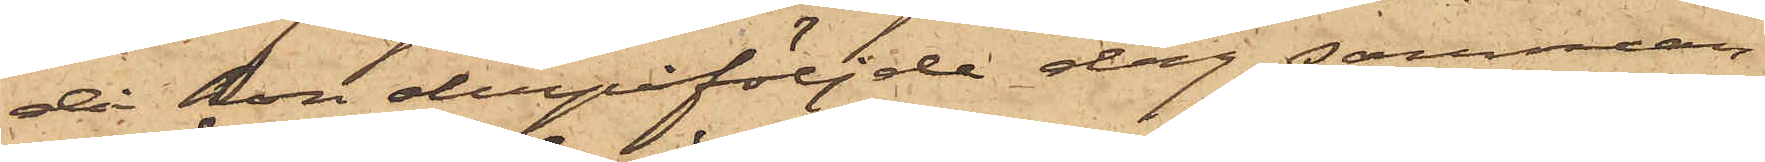då hon derpåföljde dag samman¬
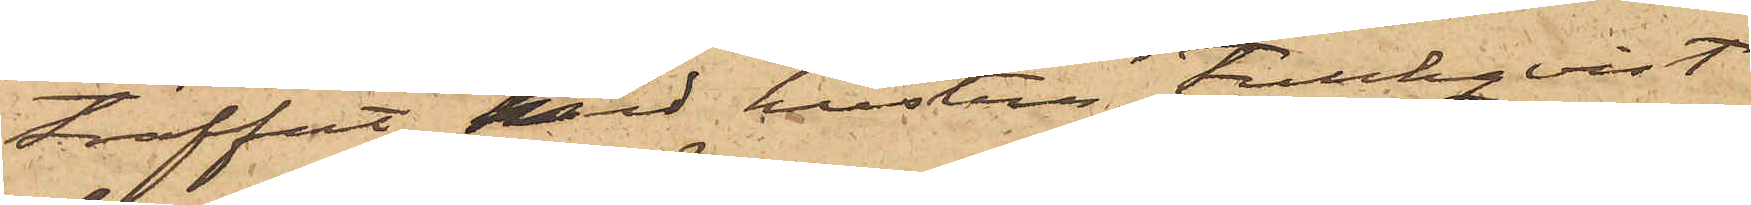träffat med hustrun Funkqvist
